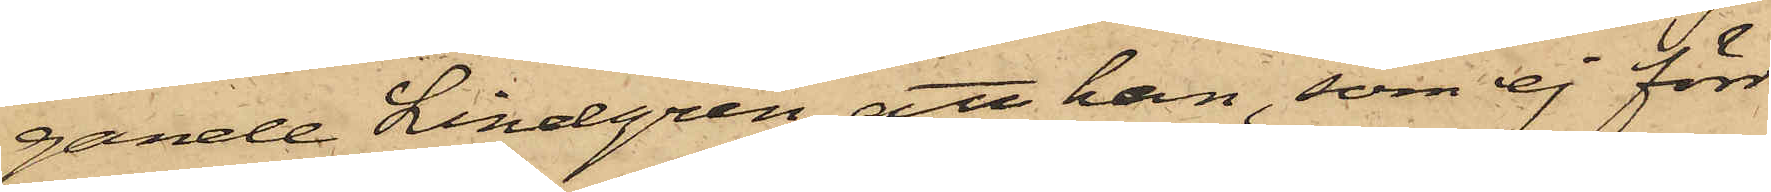gande Lindgren, att han, som ej förr
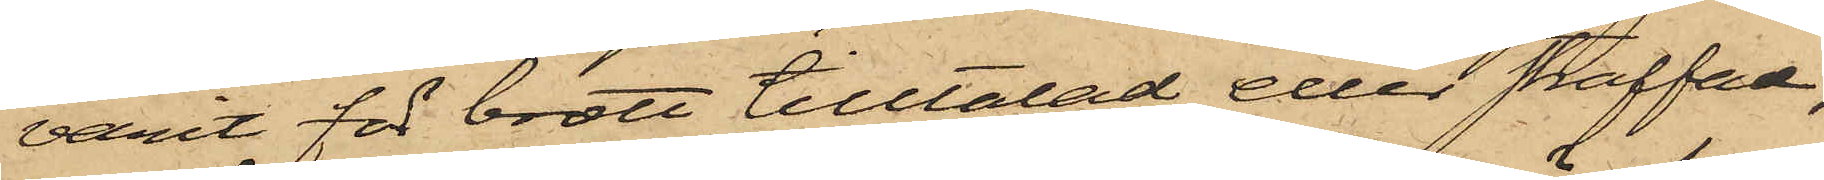varit för brott tilltalad eller straffad,
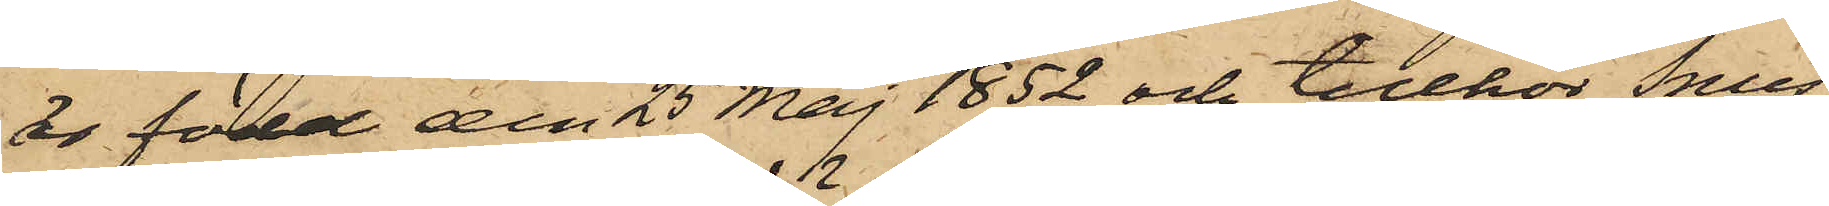är född den 25 Maj 1852 och tillhör Smes¬
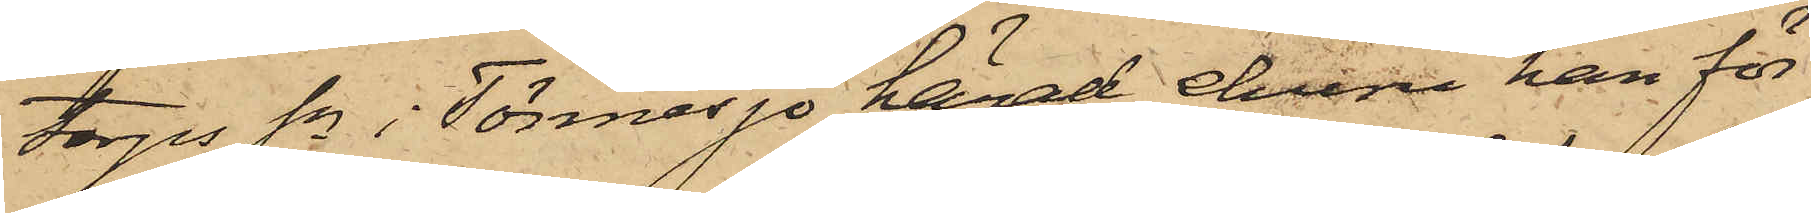torps Sn i Tönnersjö härad, ehuru han för
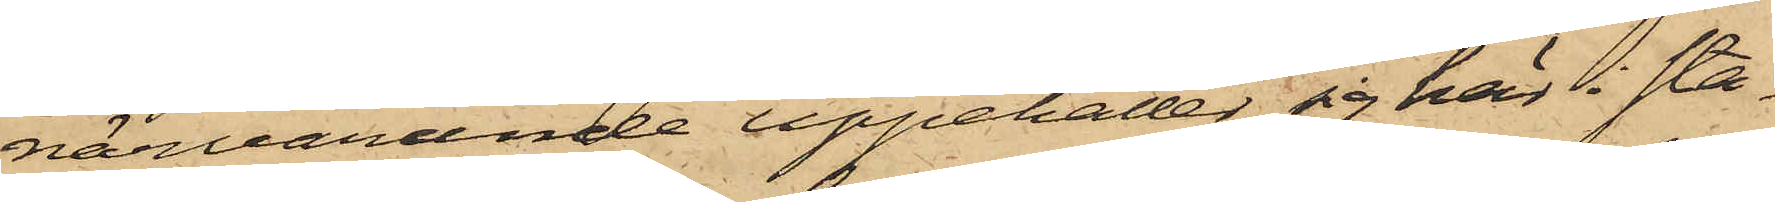närvarande uppehåller sig här i sta¬
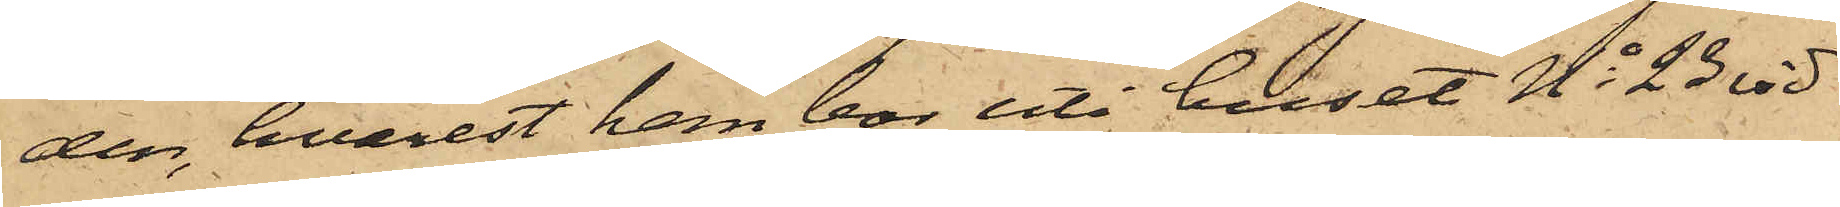den, hvarest han bor uti huset No 23 vid
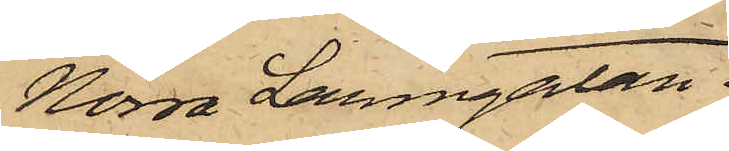Norra Larmgatan.
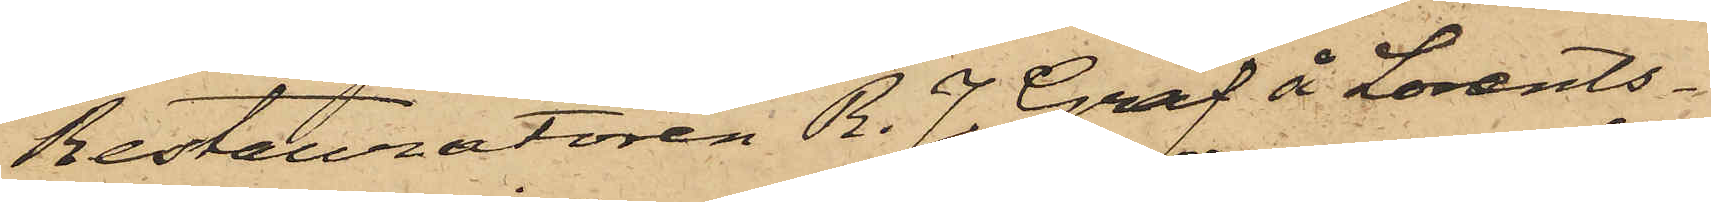Restauratören R. J. Graf å Lorents¬
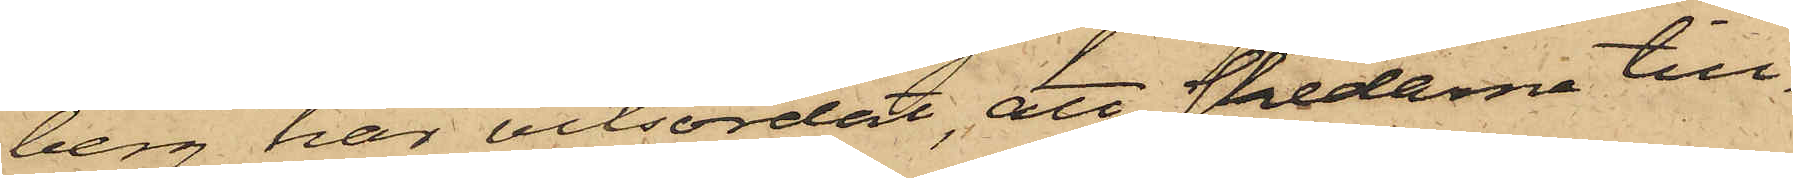berg har vitsordat, att skedarne till¬
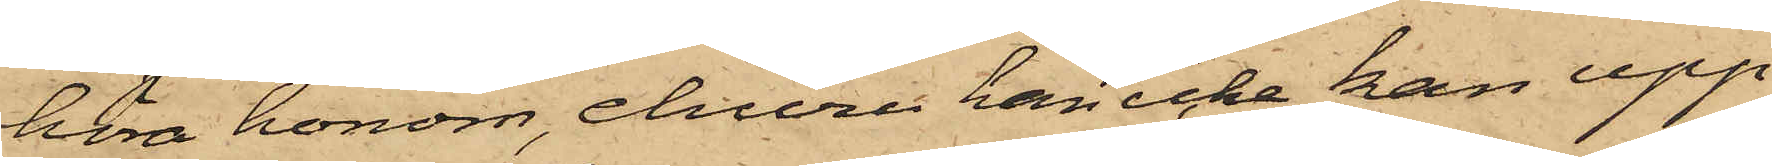höra honom, ehuru han icke kan upp¬
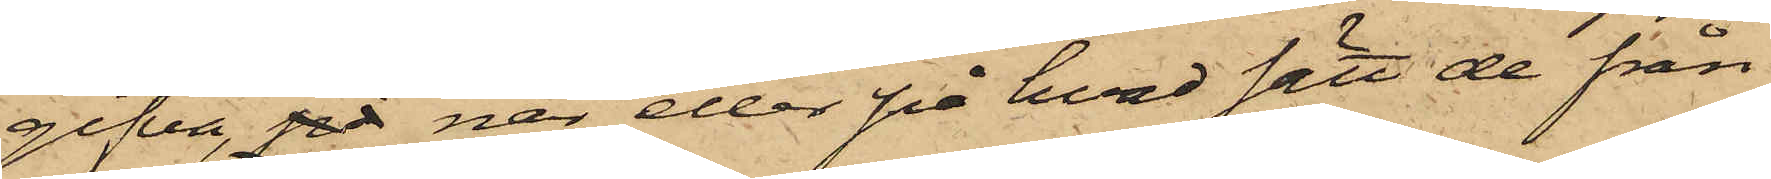gifva på när eller på hvad sätt de från
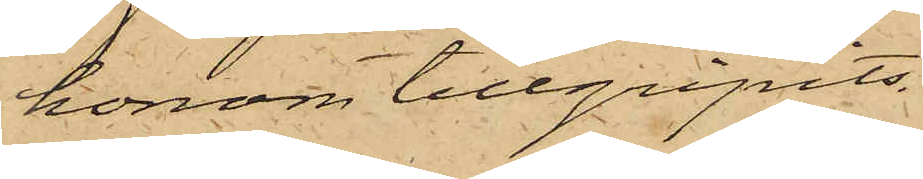honom tillgripits.
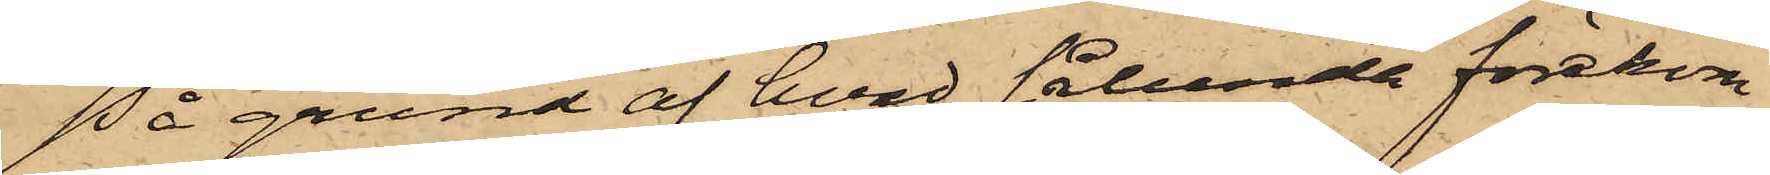På grund af hvad sålunda förekom¬
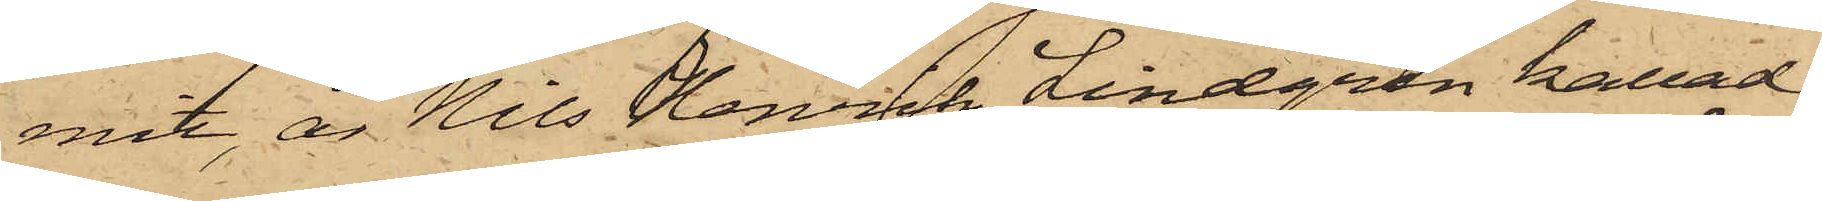mit, är Nils Henrik Lindgren kallad
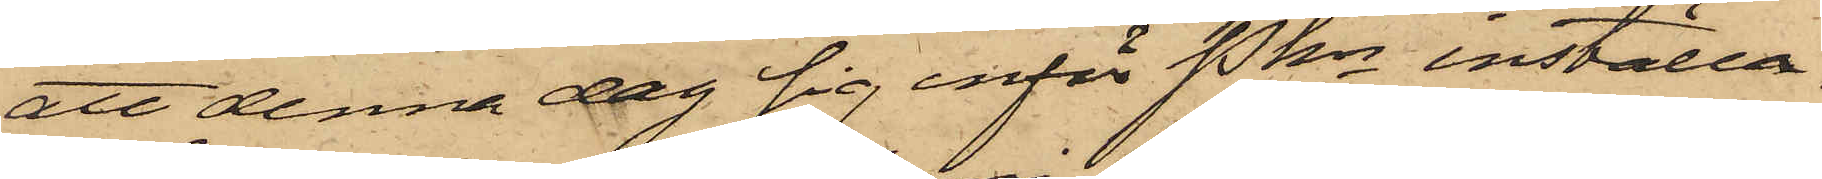att denna dag sig inför Pkn inställa.
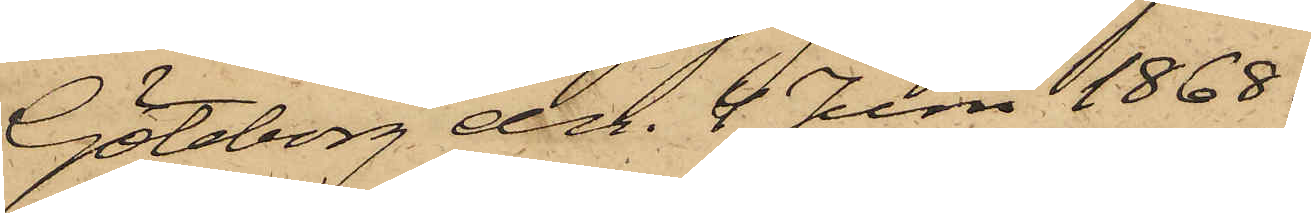Göteborg den 4 Juni 1868.
